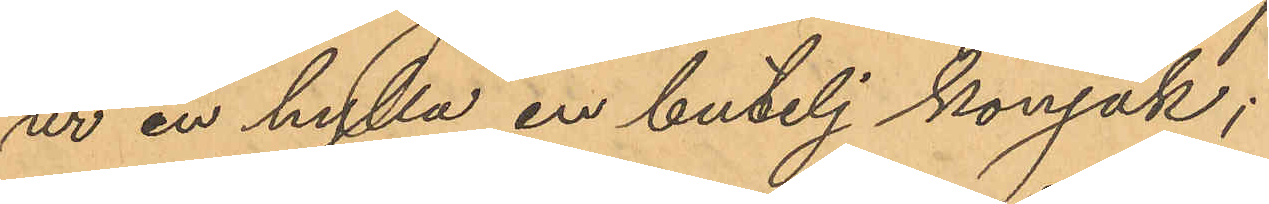ur en hylla en butelj konjak;
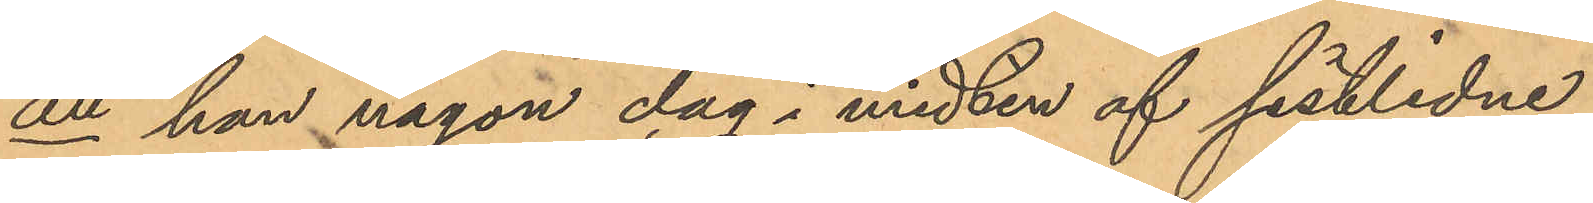att han någon dag i midten af sistlidne
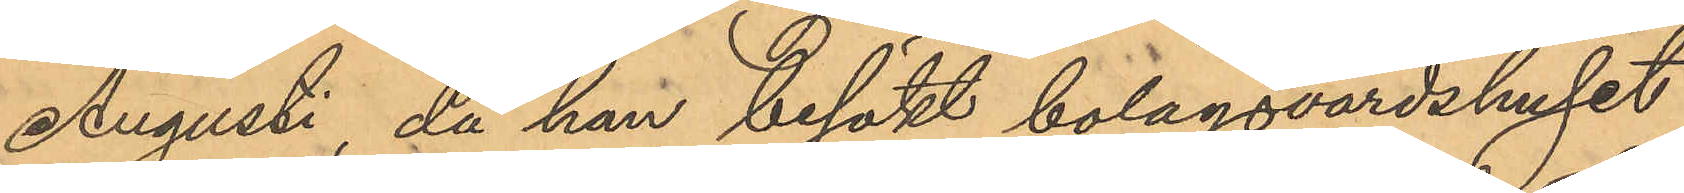Augusti, då han besökt bolagsvärdshuset
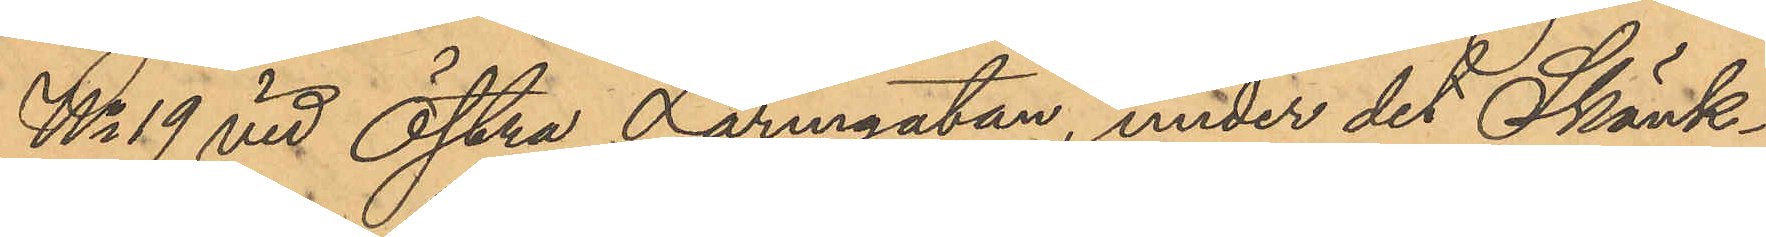No 19 vid Östra Larmgatan, under det Skänk¬
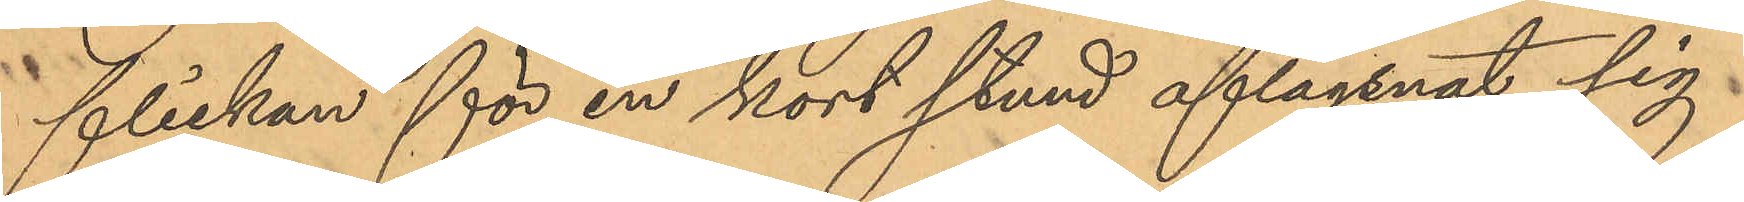flickan för en kort stund aflägsnat sig
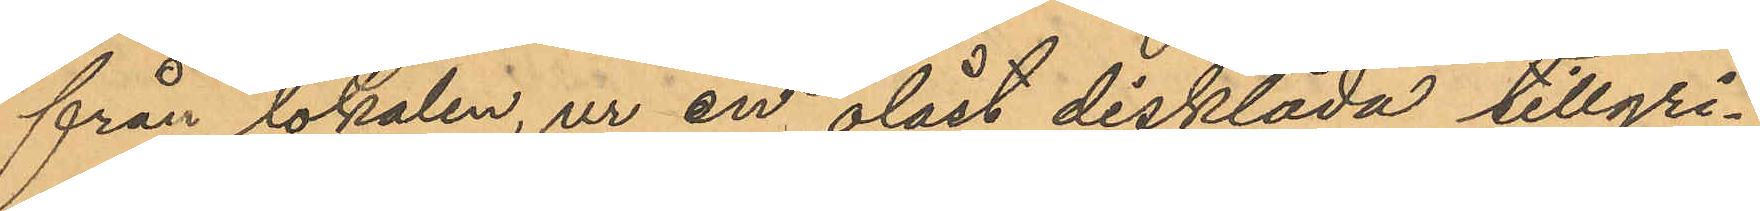från lokalen, ur en olåst disklåda tillgri¬
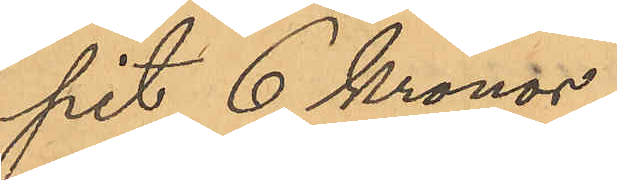pit 6 Kronor
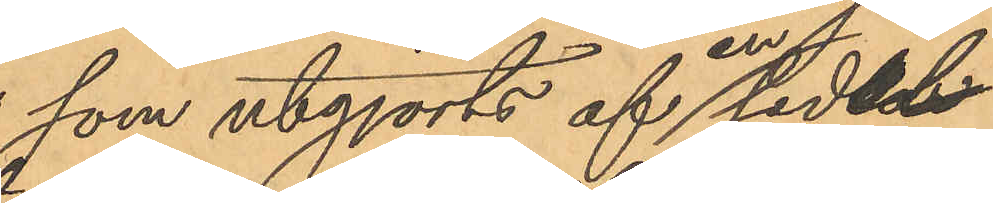som utgjorts af en sedel
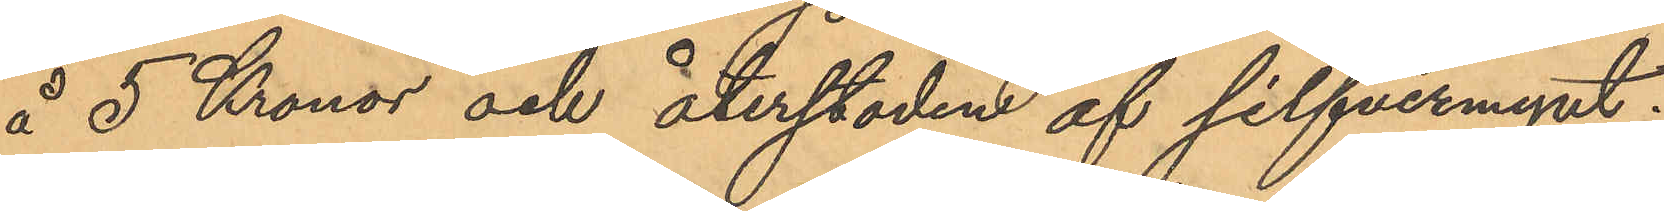å 5 Kronor och återstoden af silfvermynt;
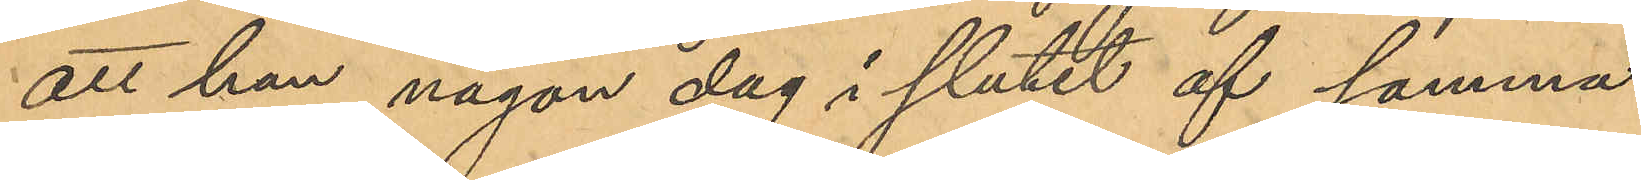att han någon dag i slutet af samma
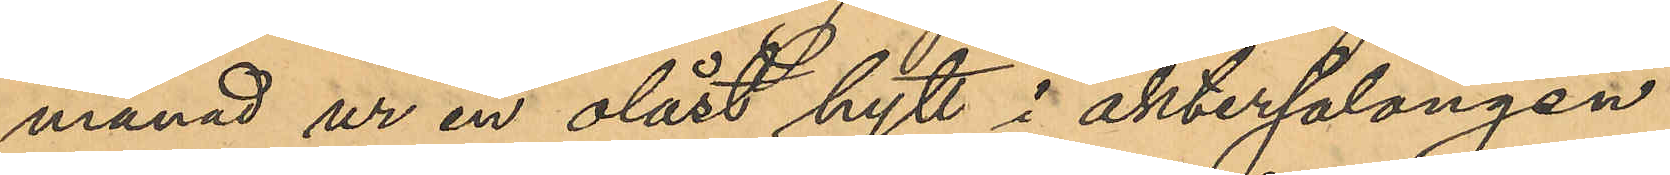månad ur en olåst hytt i aktersalongen
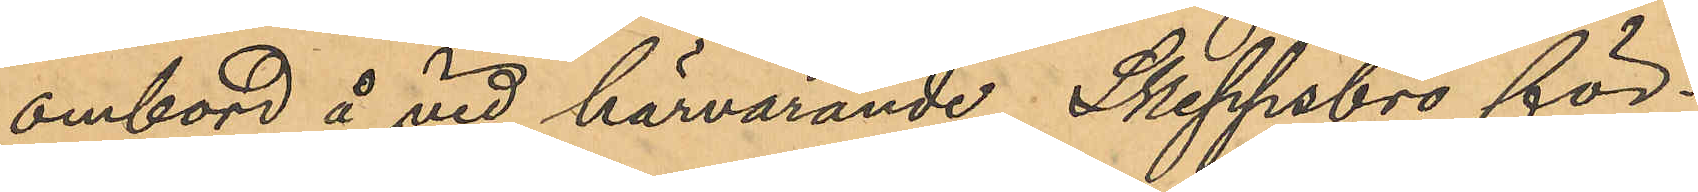ombord å vid härvarande Skeppsbro för¬
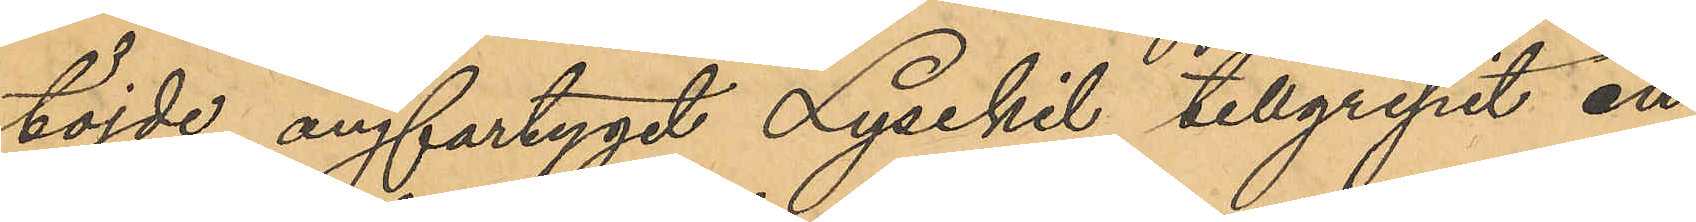töjde ångfartyget Lysekil tillgripit en
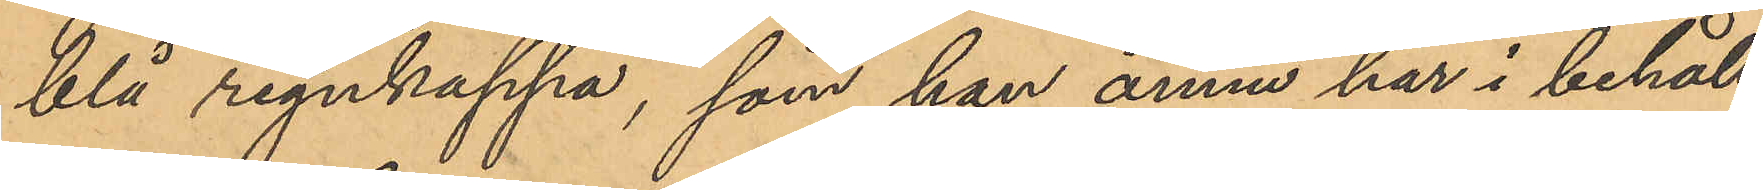blå regnkappa, som han ännu har i behåll;
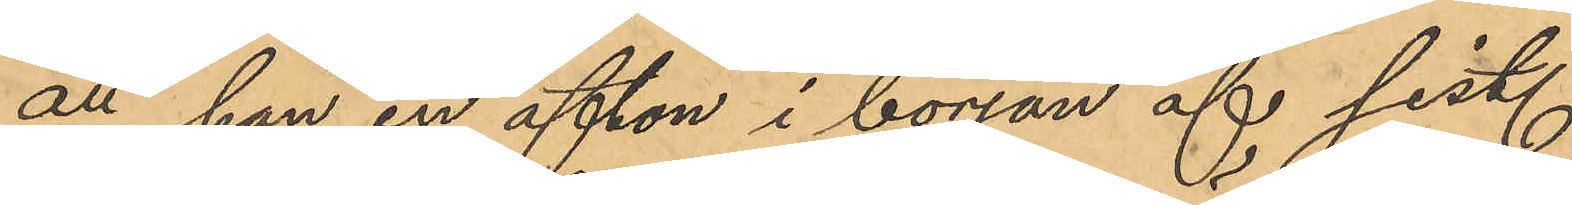att han en afton i början af sist.
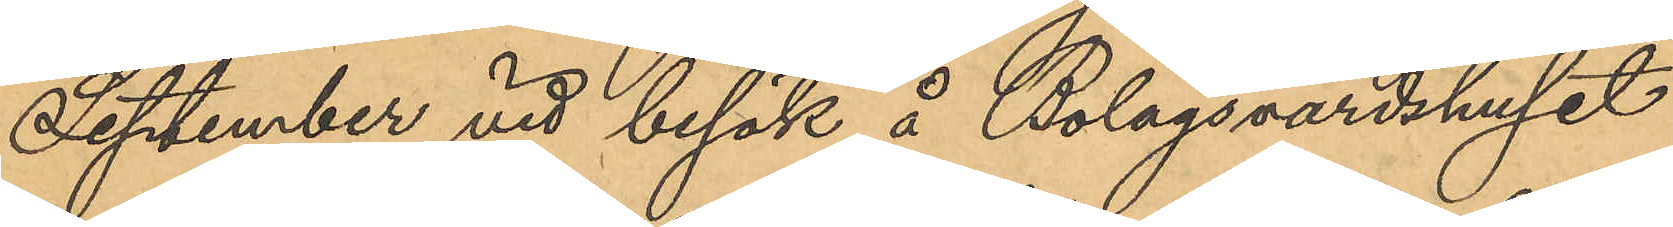September vid besök å Bolagsvärdshuset
